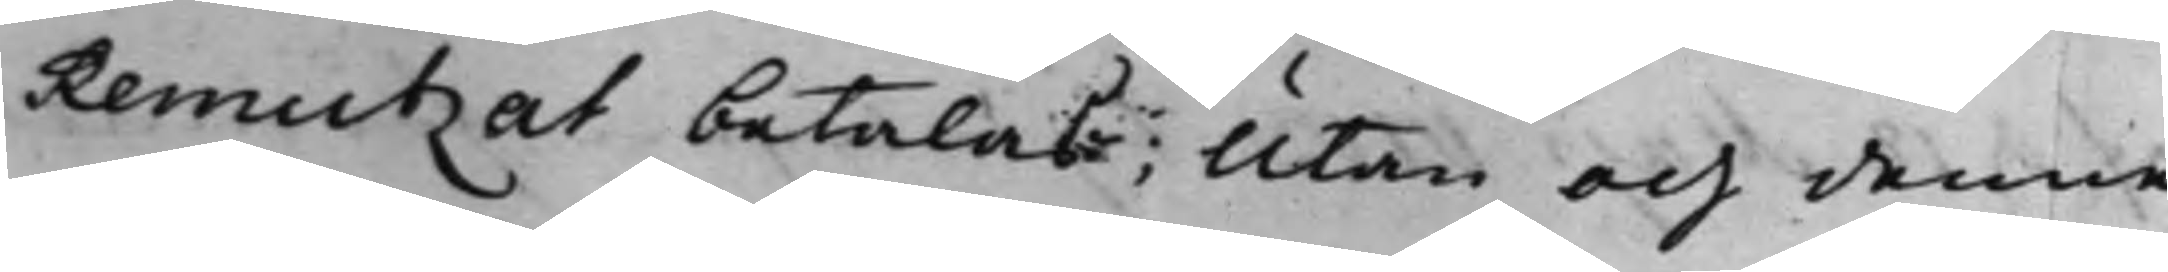Remutzat betalas; Utan och denne
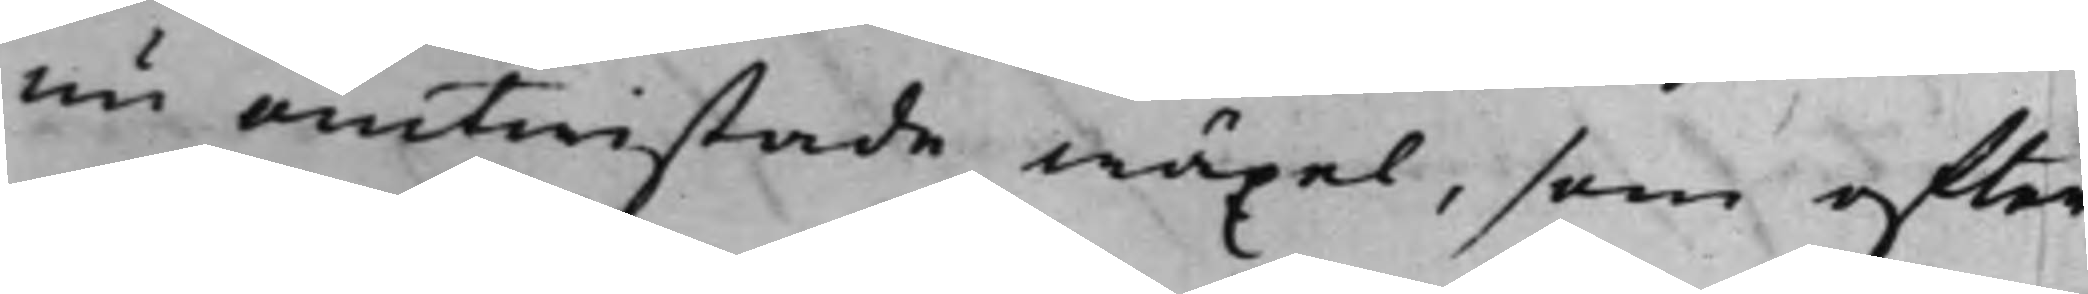nu omtwistade wäxel, som efter
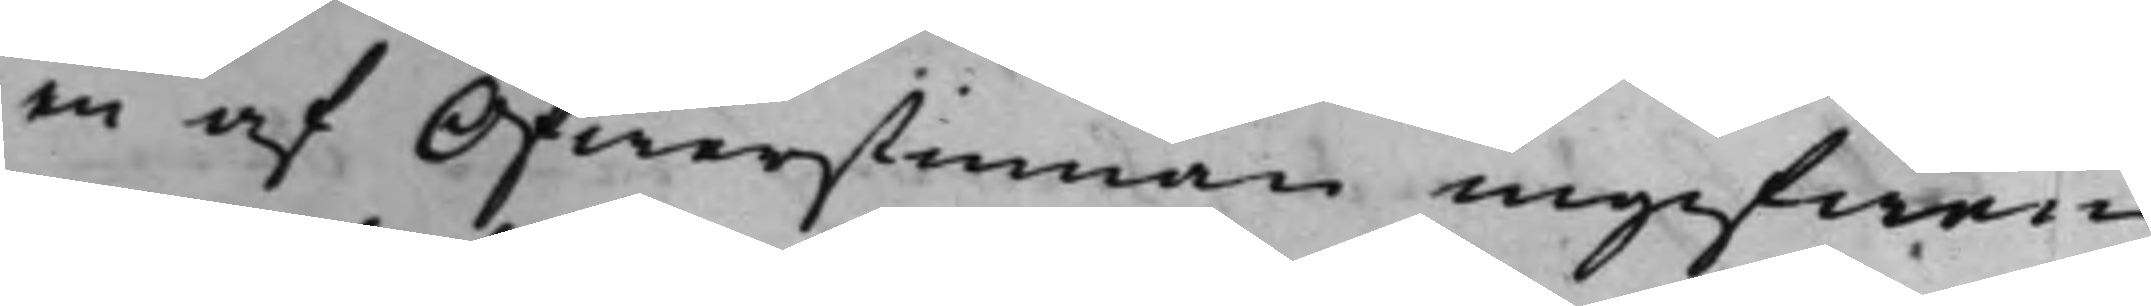en af Öfwerstinnan ingifwen
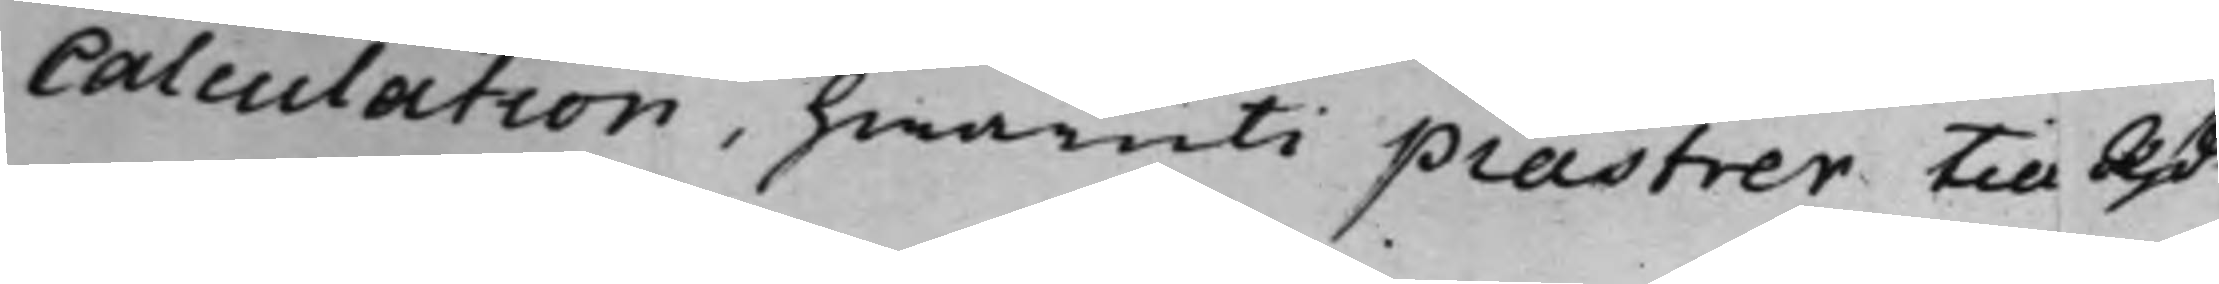Calculation, hwaruti piastrer Till RD.r
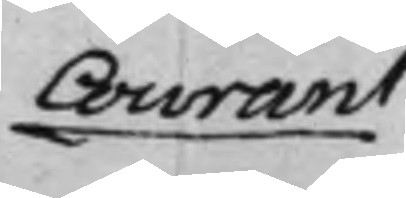Courant
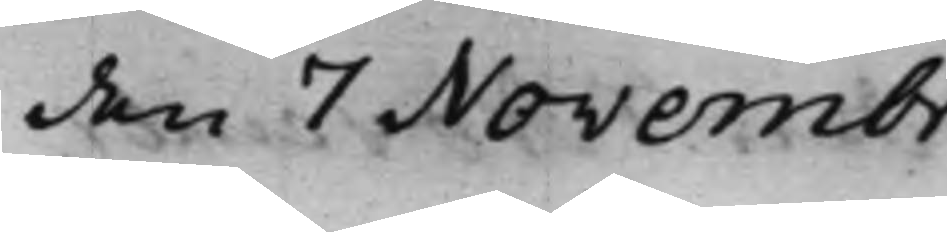den 7 Novembr.
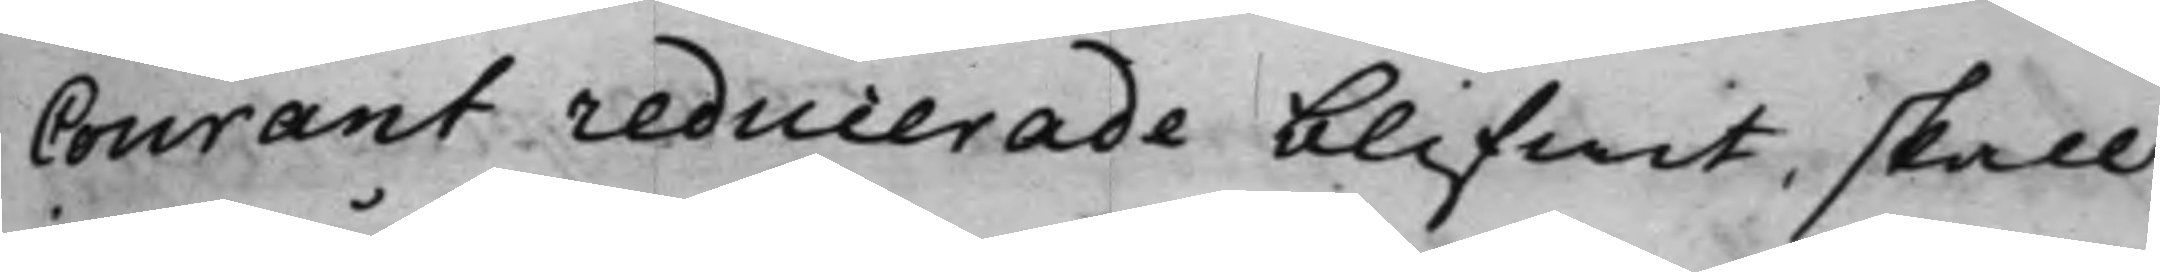Courant reducerade blifwit, skall
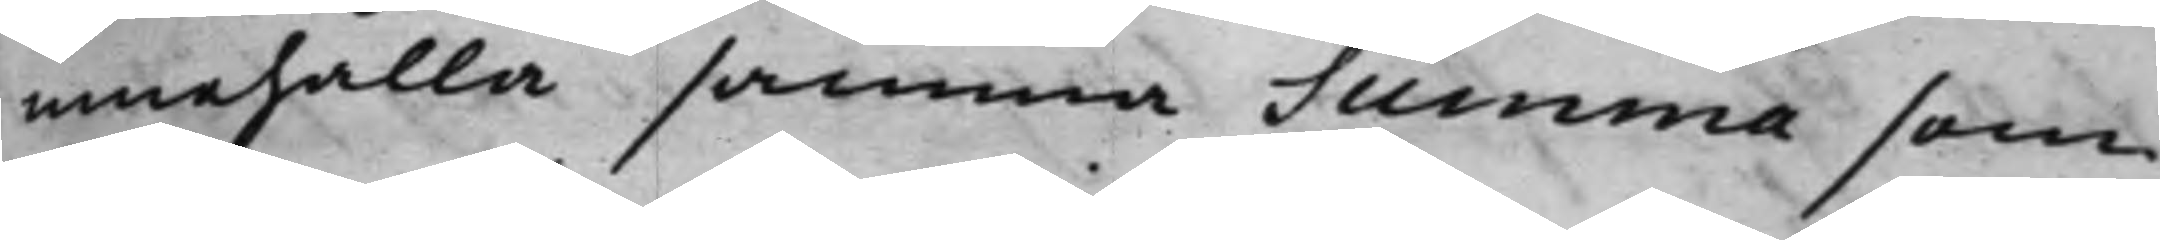innehålla samma Summa som
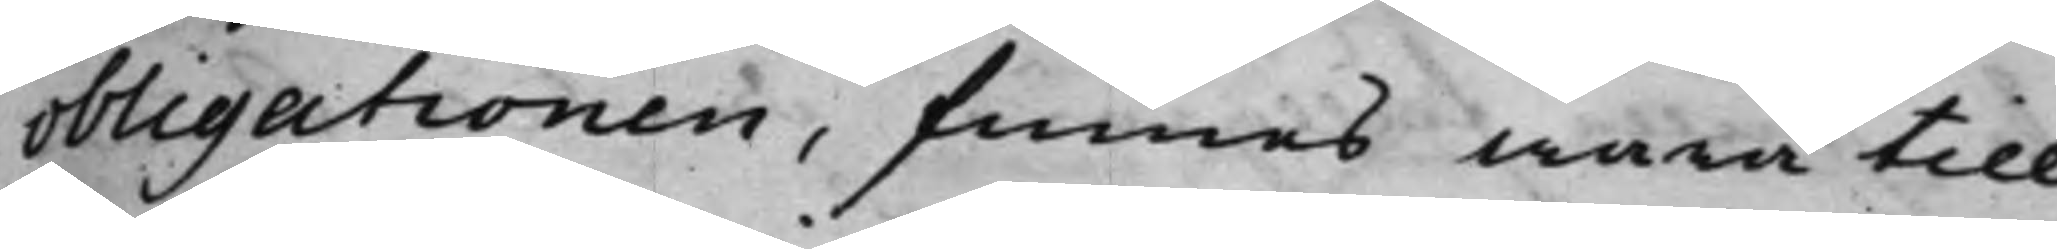obligationen, finnes wara till
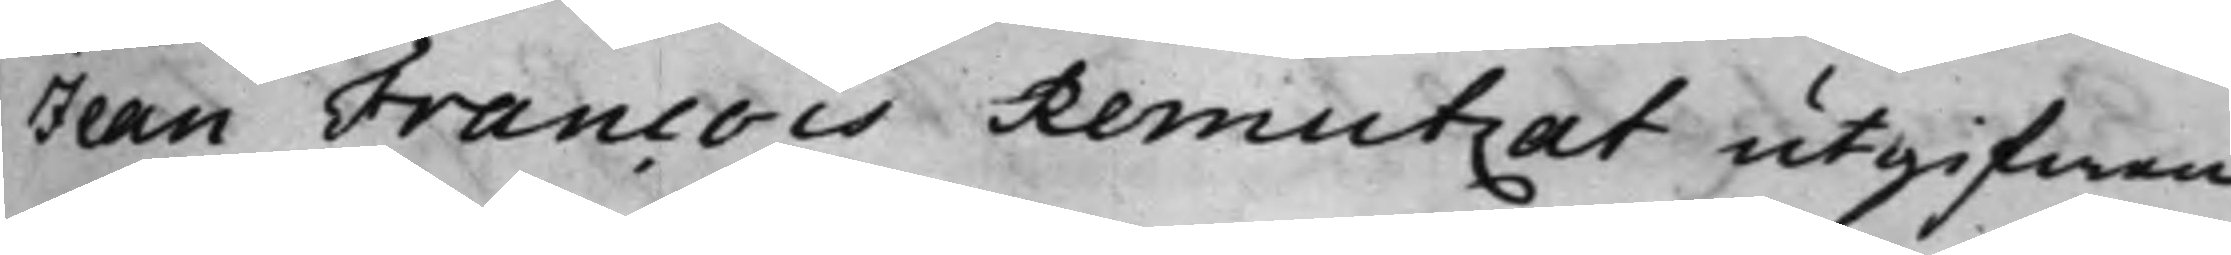Jean Francois Remutzat utgifwen:
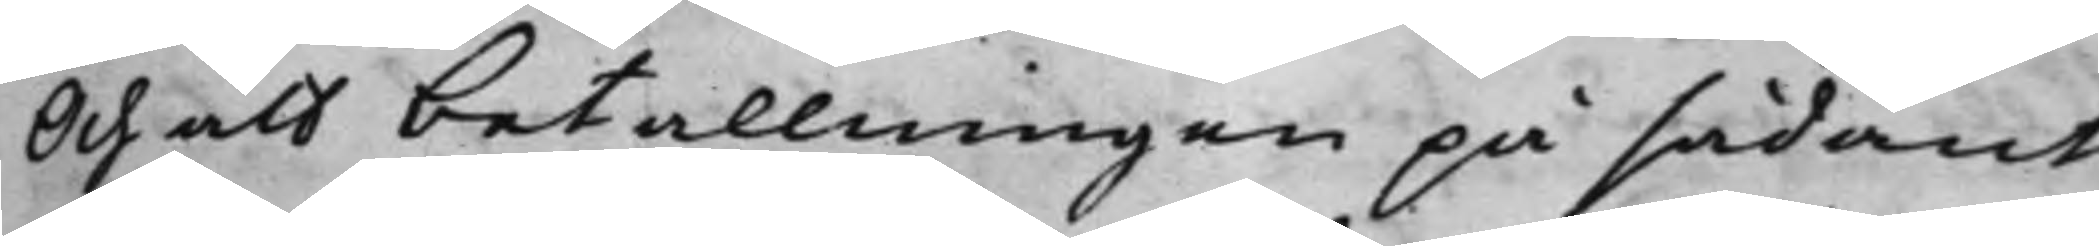Och att betallningen på sådant
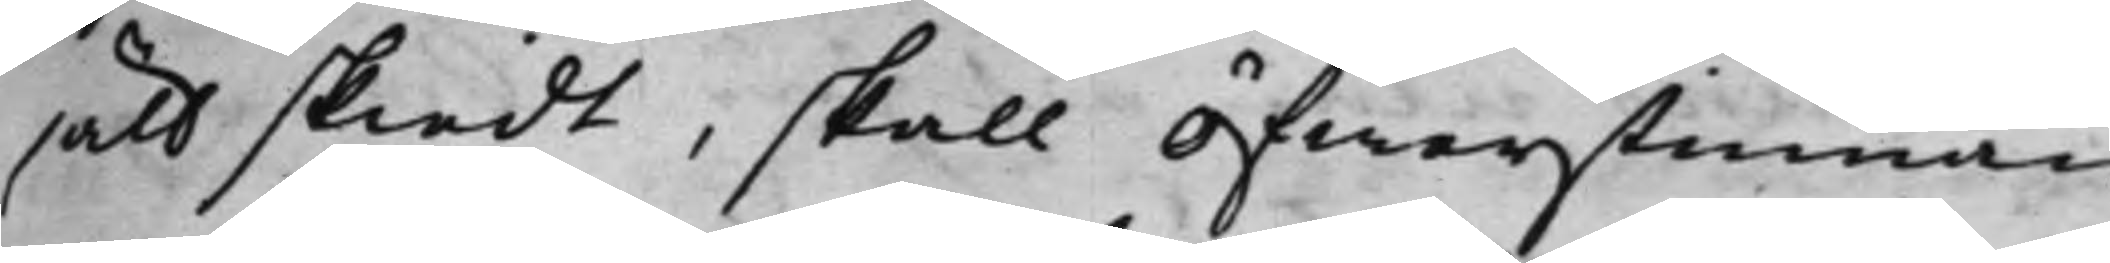sätt skiedt, skall Öfwerstinnan
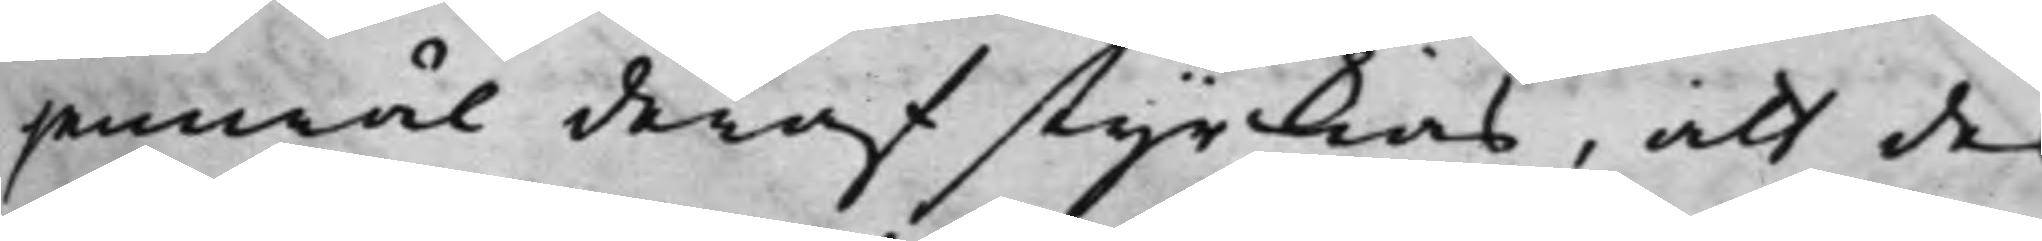jemwäl deraf styrckias, att des
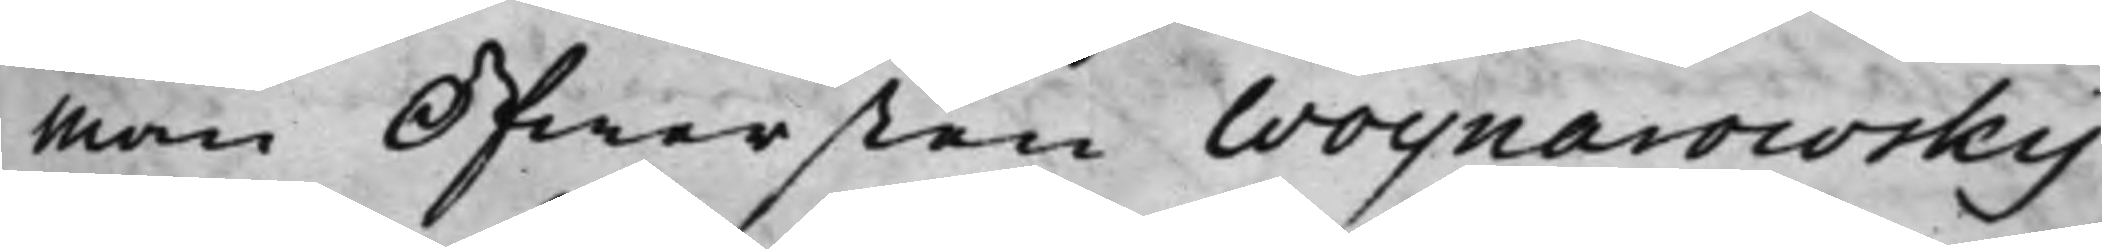Man Öfwersten Woynarowsky
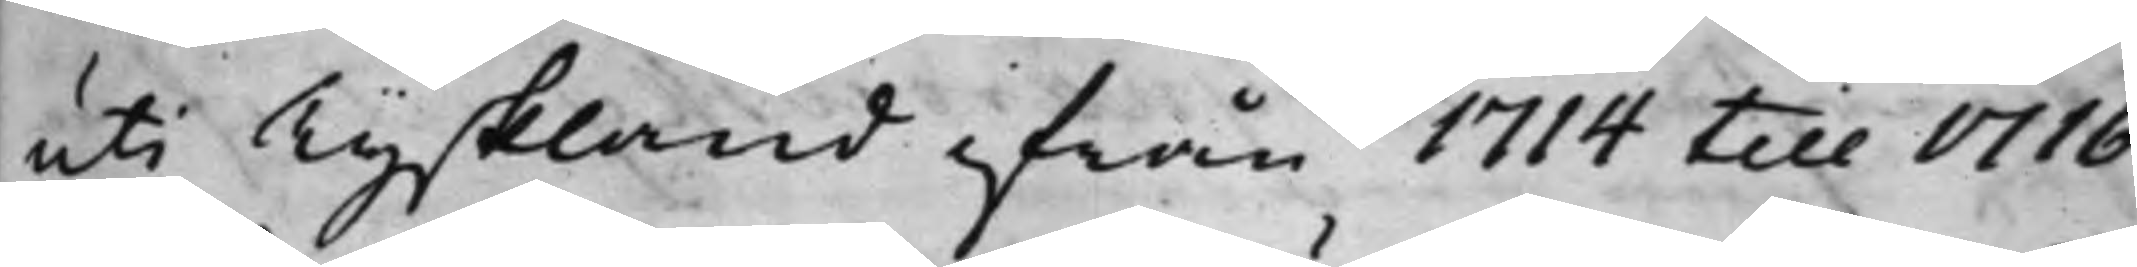uti Tyskland ifrån 1714 till 1716
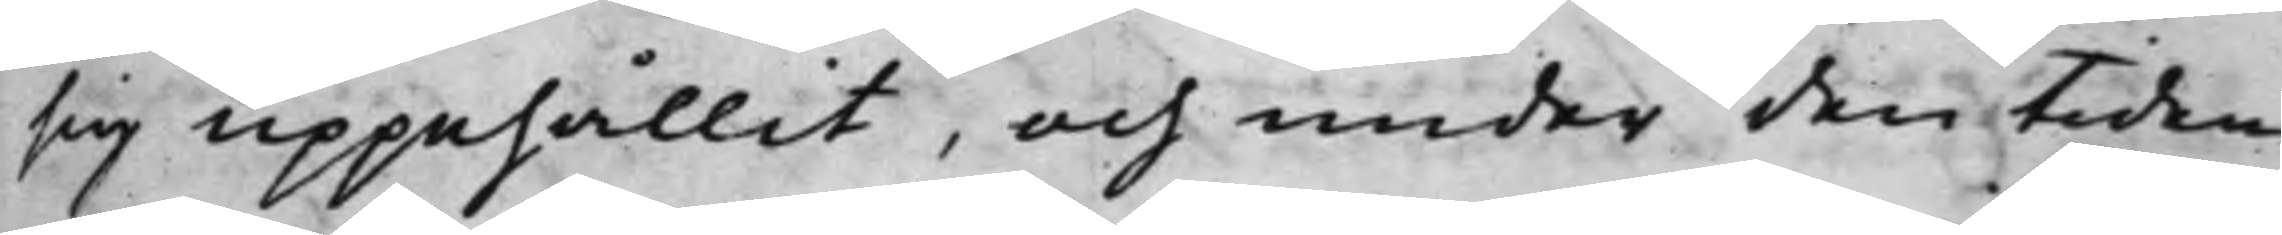sig uppehållit, och under den tiden
